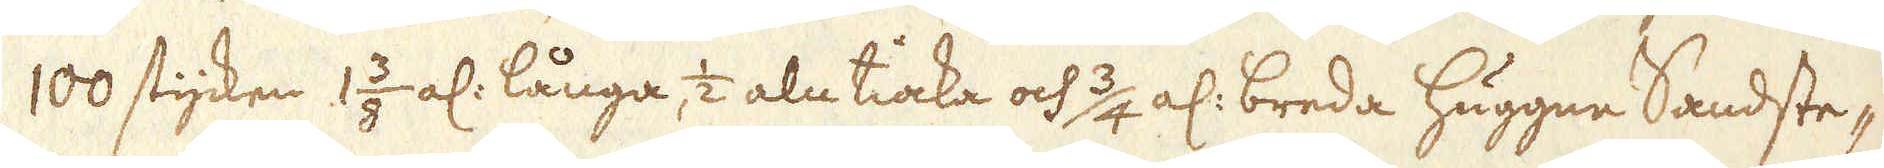100 stycken 1 3/8 al: långa, 1/2 aln tiocka och 3/4 al: breda huggne Sandste-
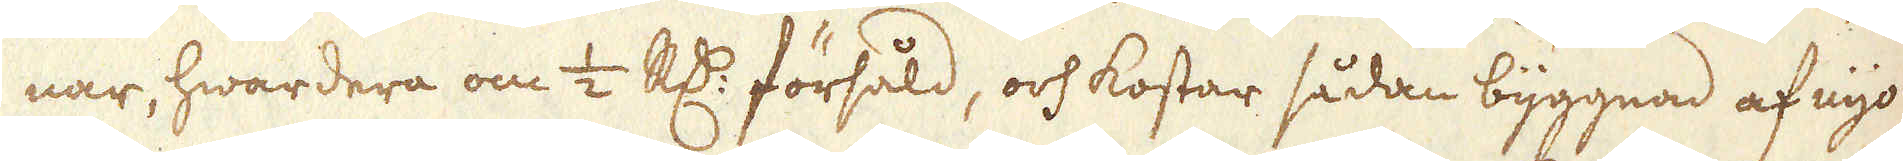nar, hwardera om 1/2 R:dr försåld, och kostar sådan byggnad af nyo
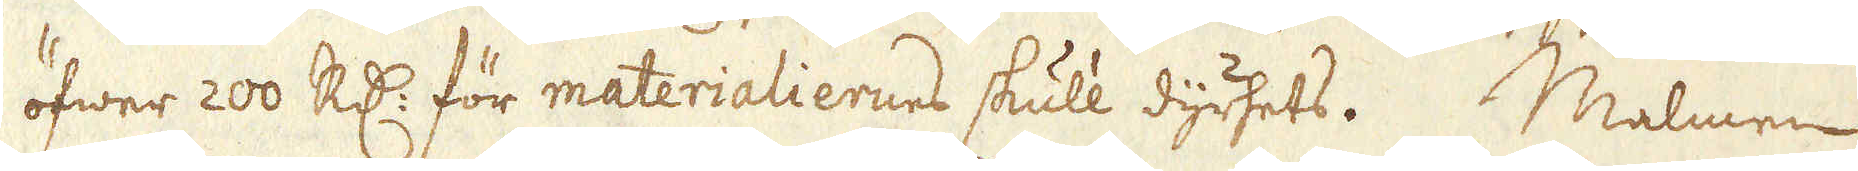öfwer 200 R:dr för materialiernes skull dyrhets. Malmen
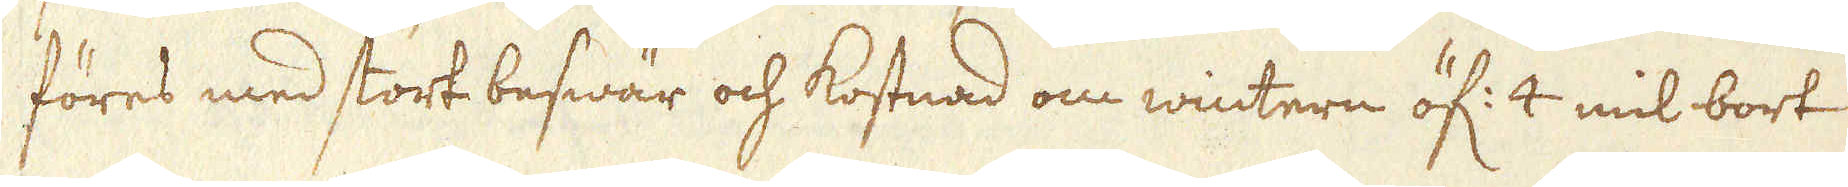föres med stort beswär och kostnad om wintern öf: 4 mil bort
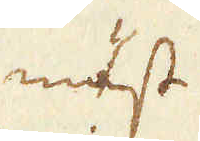mäst
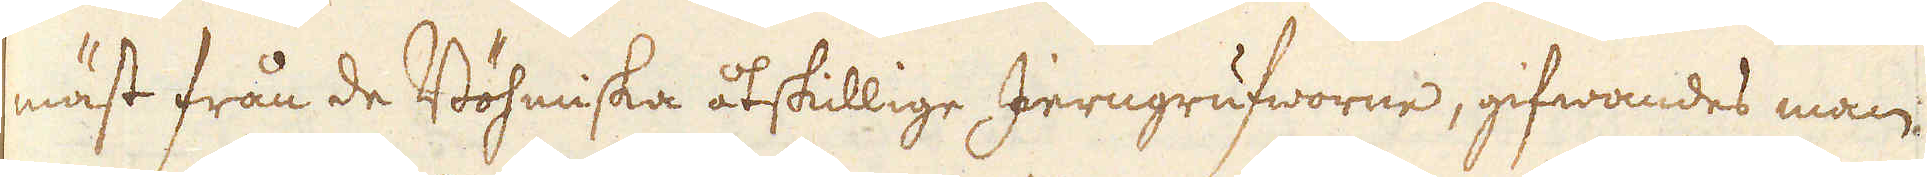mäst från de Böhmiska åtskillige Jerngrufworne, gifwandes man
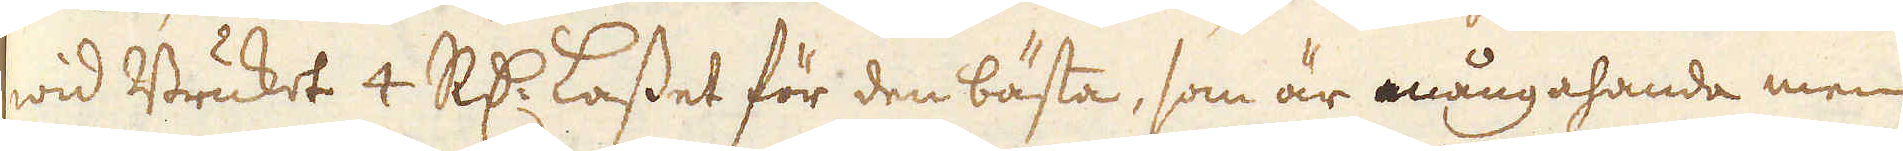wid Bruket 4 R:dr Lasset för den bästa, som är mångahanda men
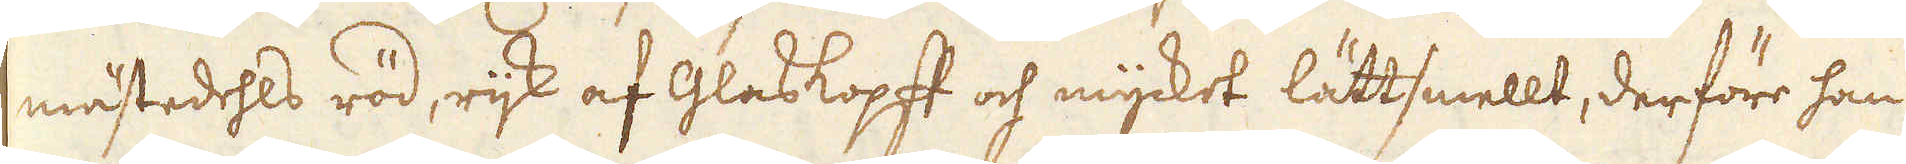mästedehls röd, rijk af Glaskopff och mycket lättsmellt, derföre han
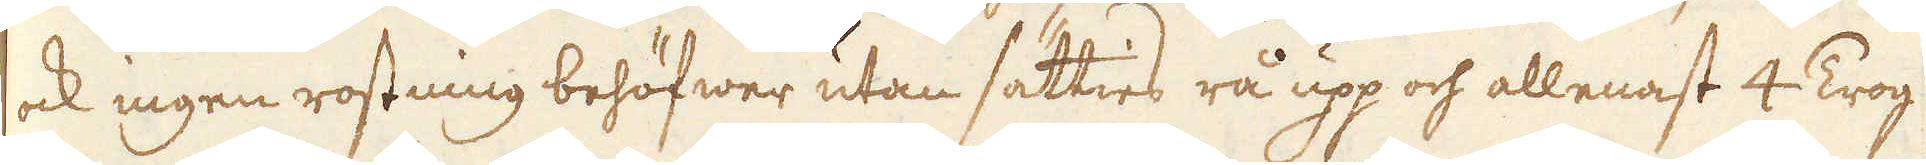ock ingen rostning behöfwer utan sätties rå upp och allenast 4 Trog
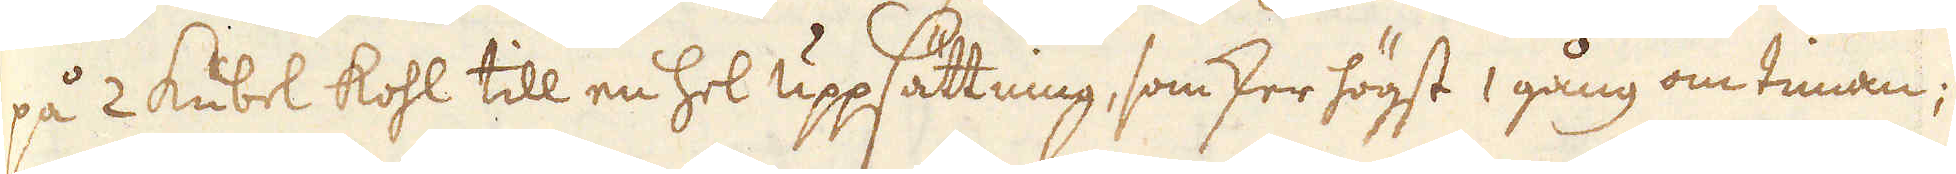på 2 Kubel kohl till en hel uppsättning, som sker högst 1 gång om timan;
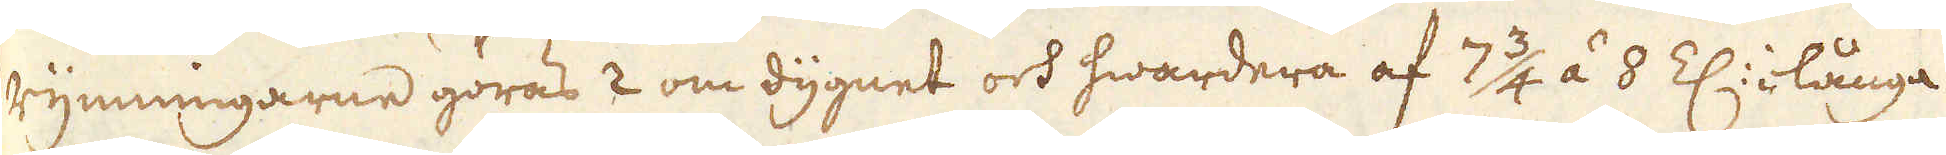rymningarne göras 2 om dygnet och hwardera af 7 3/4 á 8 Z: långa
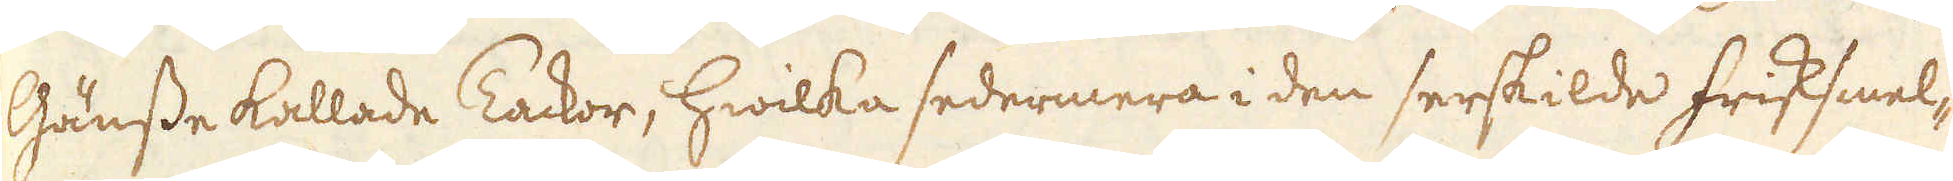Gänsse kallade Tackor, hwilka sedermera i den serskilde Frisksmel-
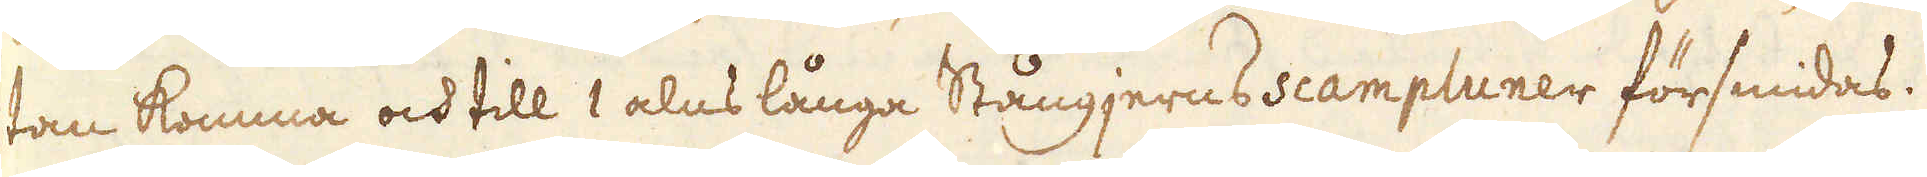tan komma och till 1 alns långa Stångjerns scampluner försmidas.
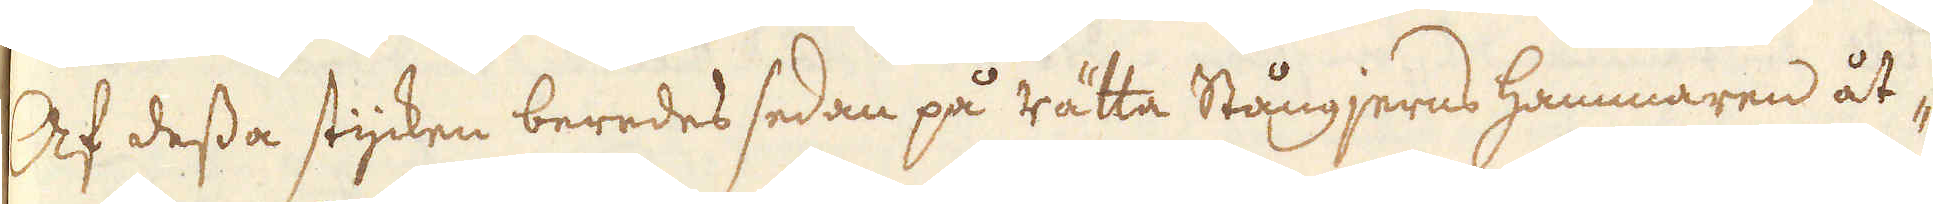Af dessa stycken beredes sedan på rätta Stångjerns hammaren åt-
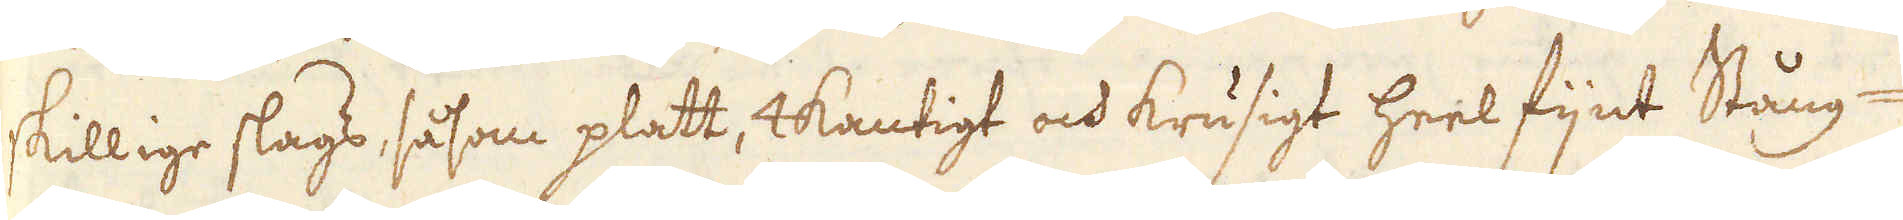skillige slags, såsom platt, 4kantigt och krusigt heel fijnt Stång-
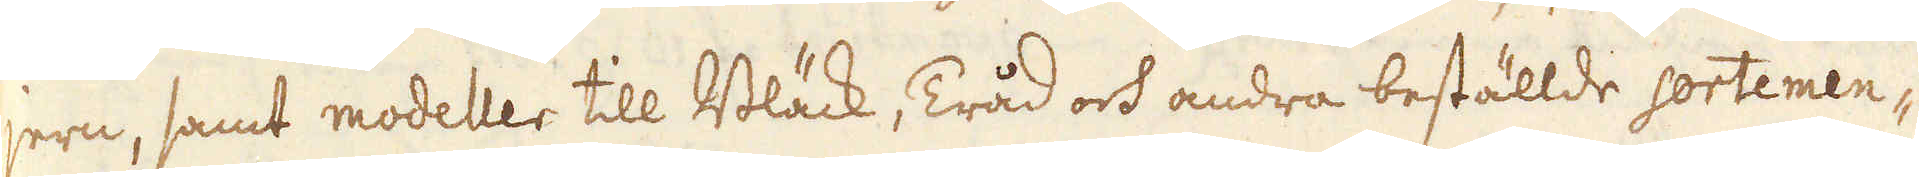jern, samt modeller till Bläck, Tråd och andra beställde sortemen-
